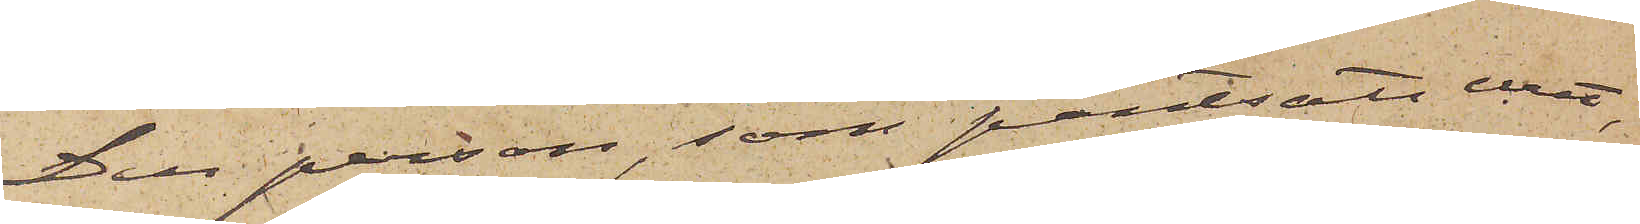Den person, som pantsatt uret
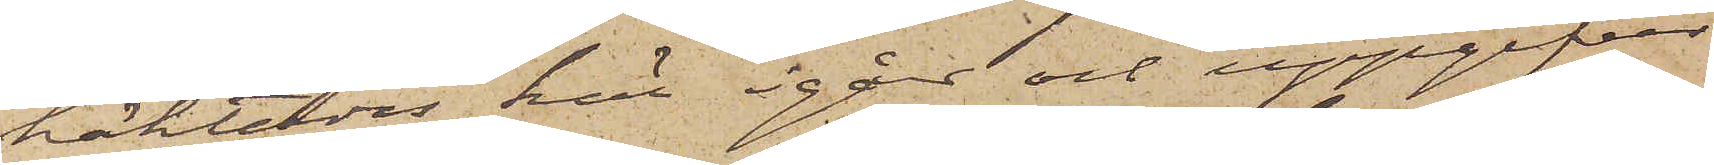häktades här igår och uppgifver
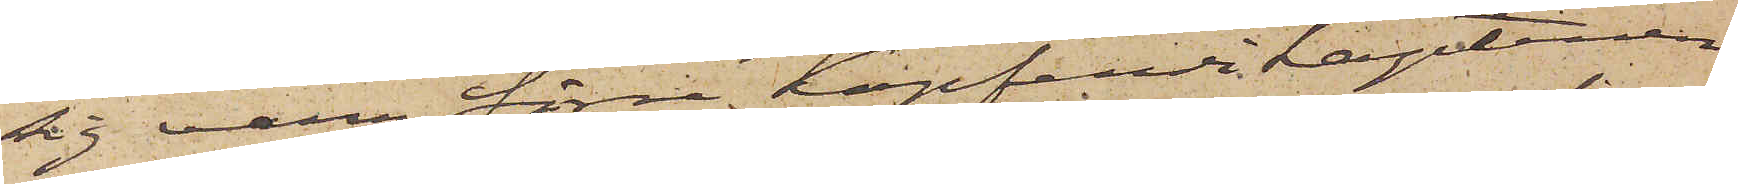sig vara förre Kopferdikaptenen
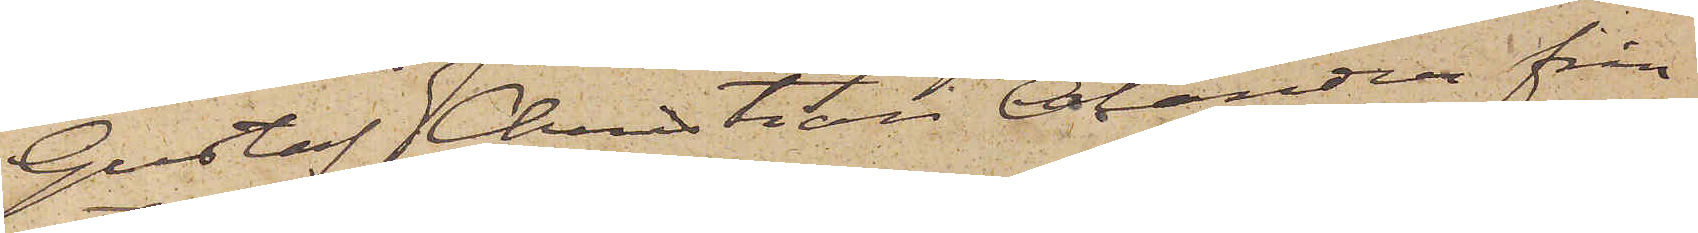Gustaf Christian Olander från
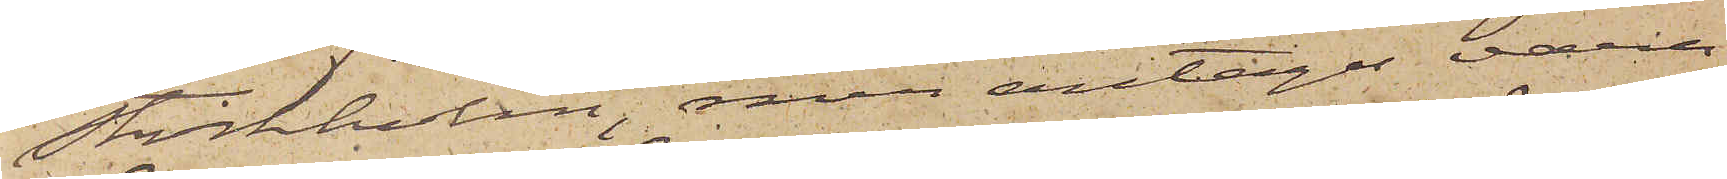Stockholm, men antages vara
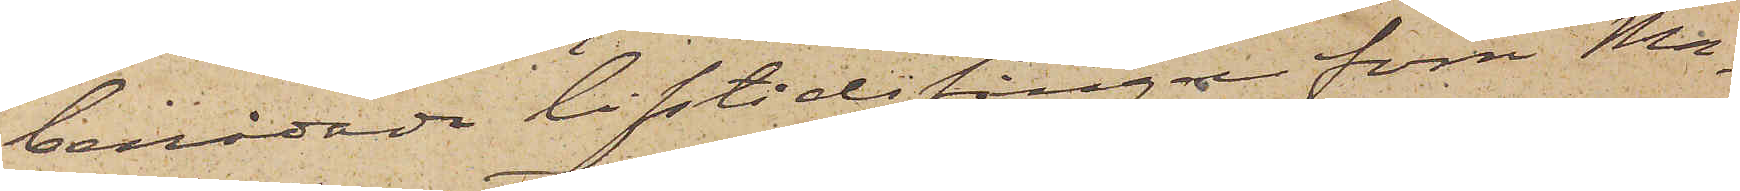benådade lifstidsfången förre Ma¬
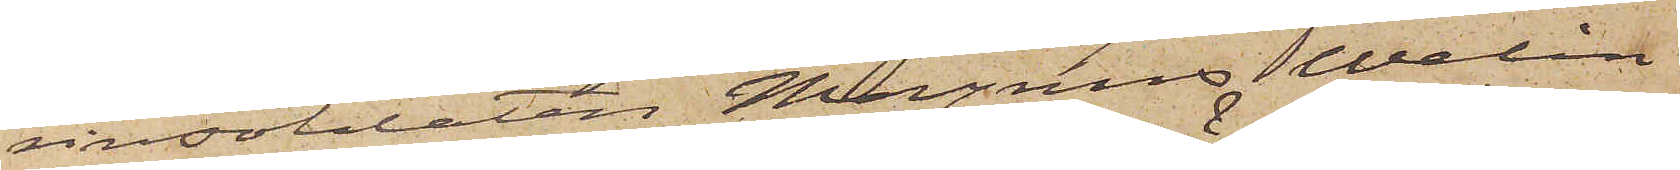rinsoldaten Magnus Walin
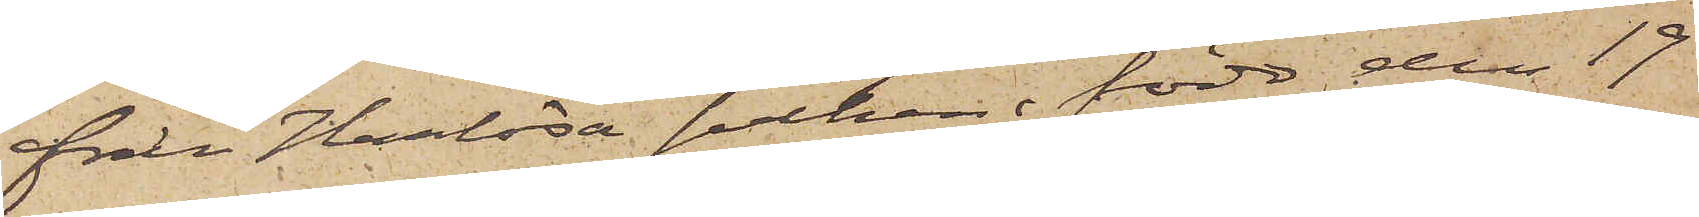från Harlösa socken, född den 19
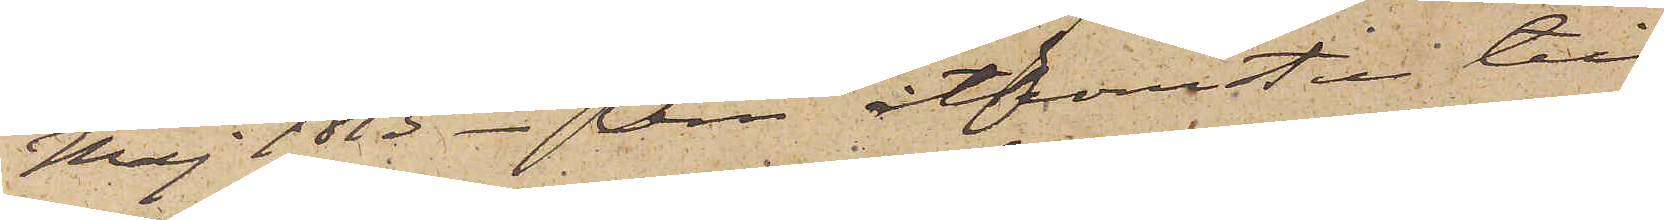Maj 1813. Om åtkomsten till
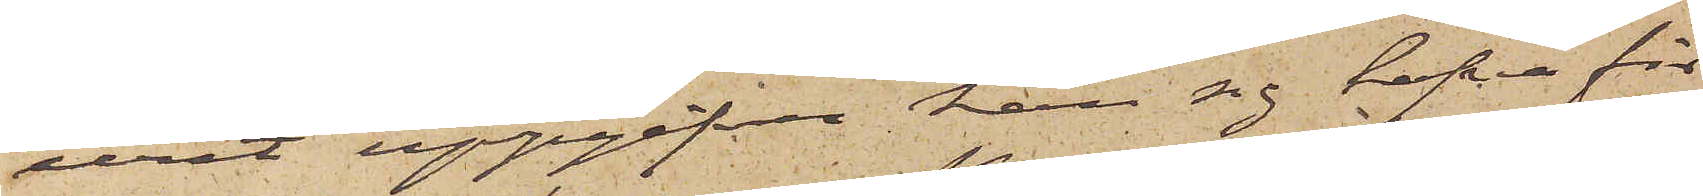uret uppgifver han sig hafva för
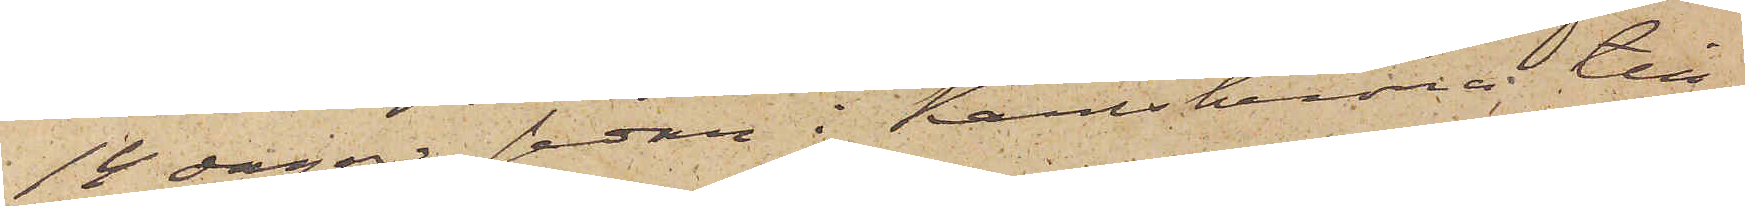14 dagar sedan i Karlskrona till¬
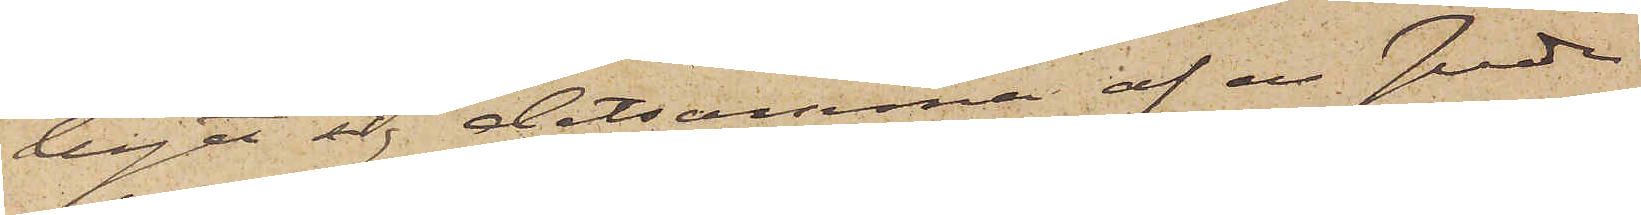bytt sig detsamma af en Jude
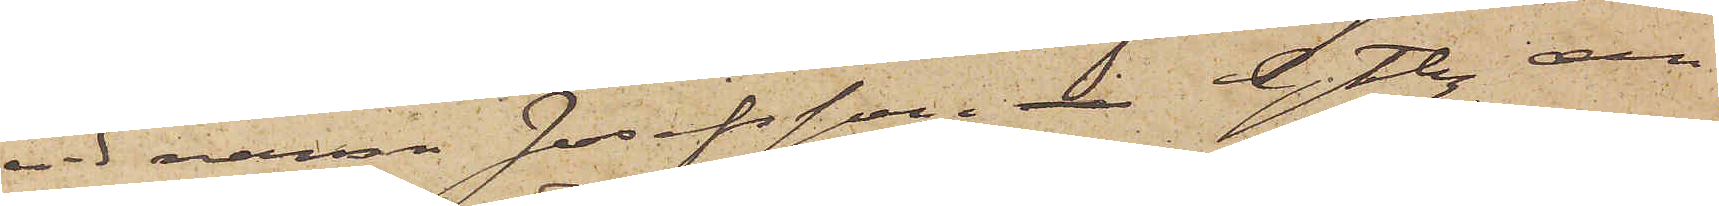vid namn Josefsson. Gtbg den
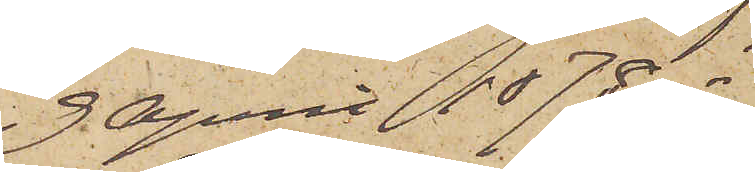9 April 1878.
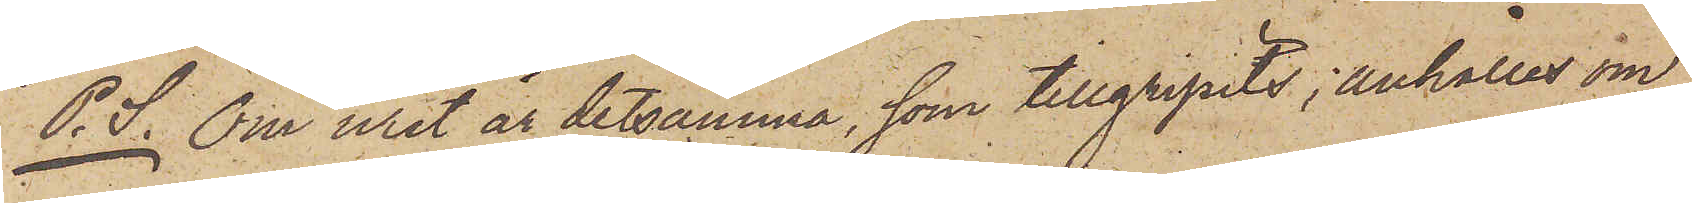P. S. Om uret är detsamma, som tillgripits; anhålles om
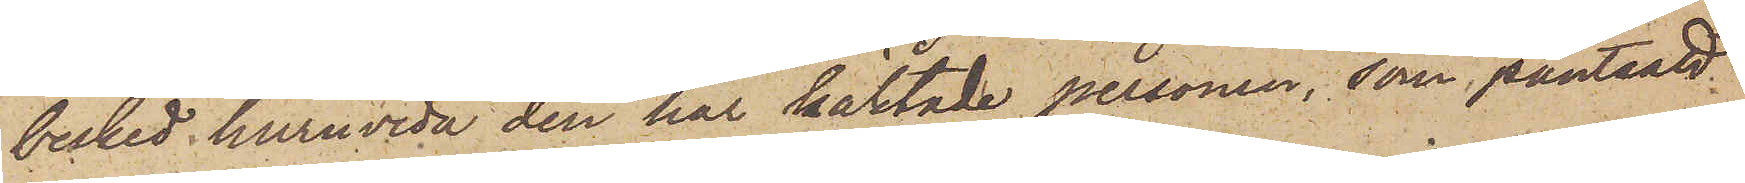besked huruvida den här häktade personen, som pantsatt
